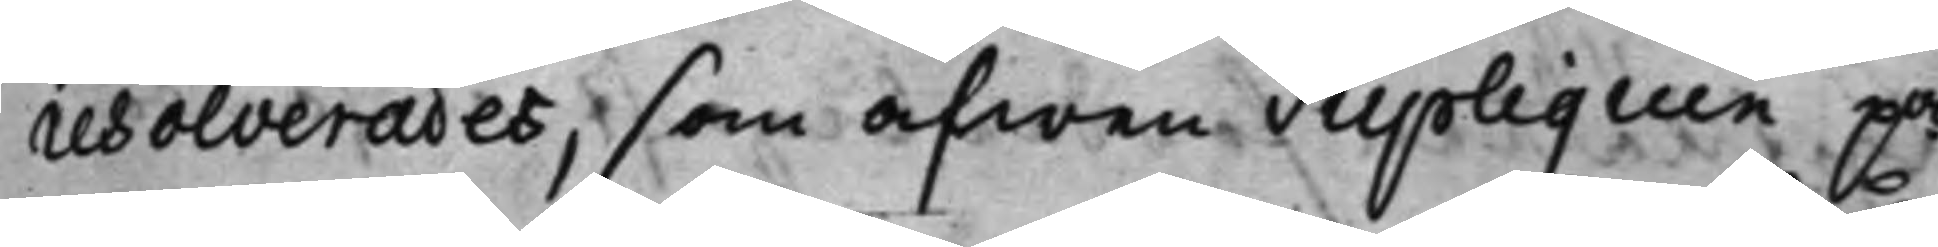resolverades, som äfwen Supliquen på¬
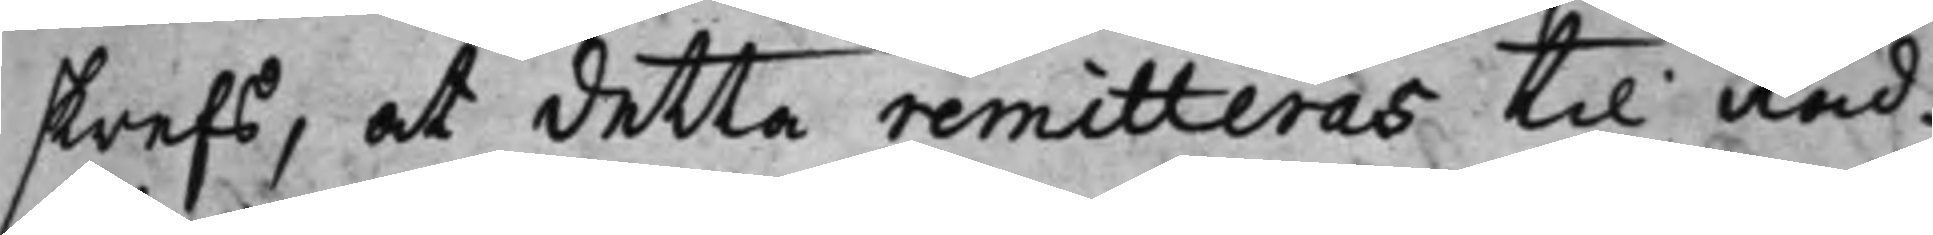skrefs, at detta remitteras til Råd¬
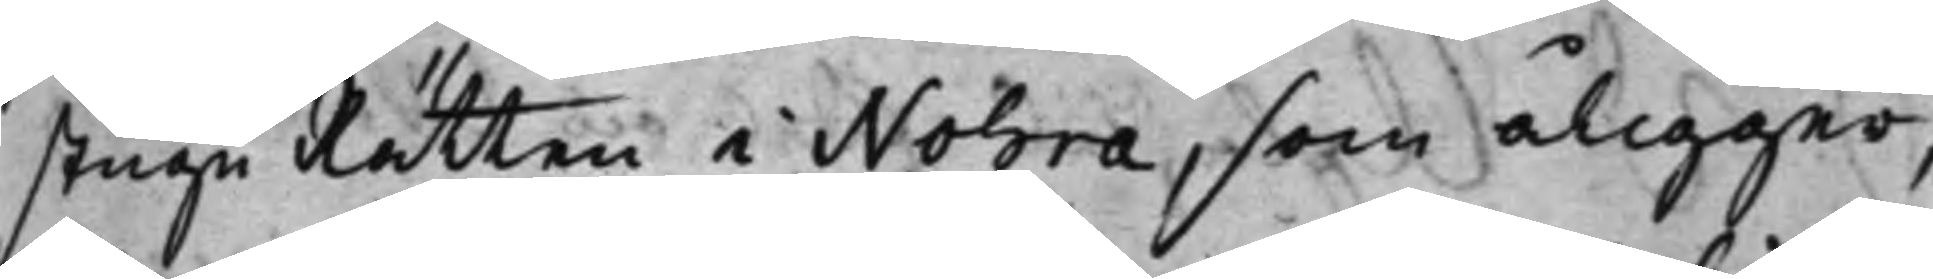stuguRätten i Nohra, som åligger,
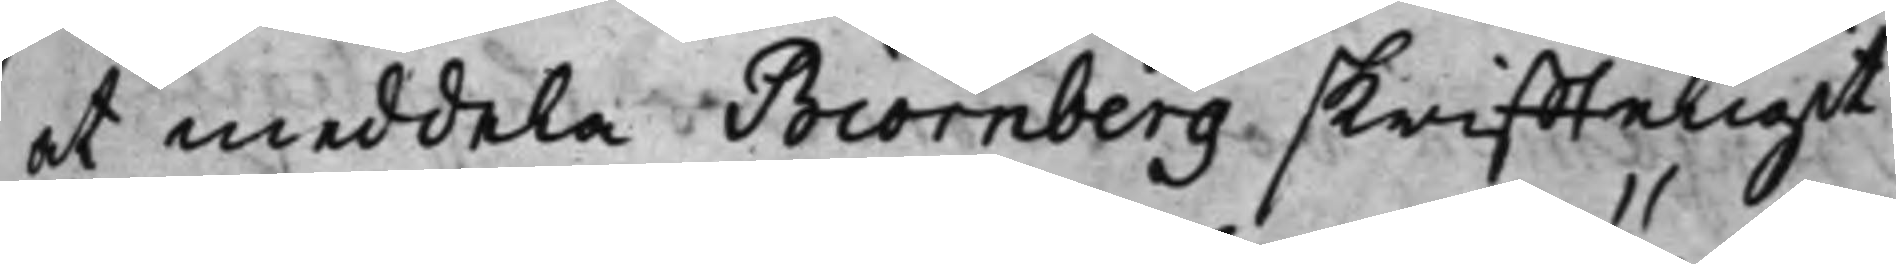at meddela Biörnberg skriffteligit
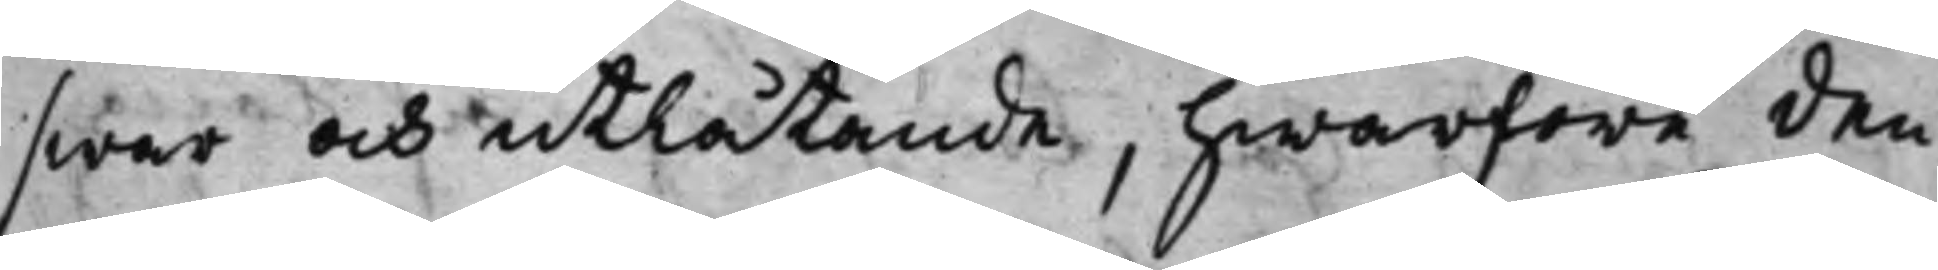swar och utlåtande, hwarföre den
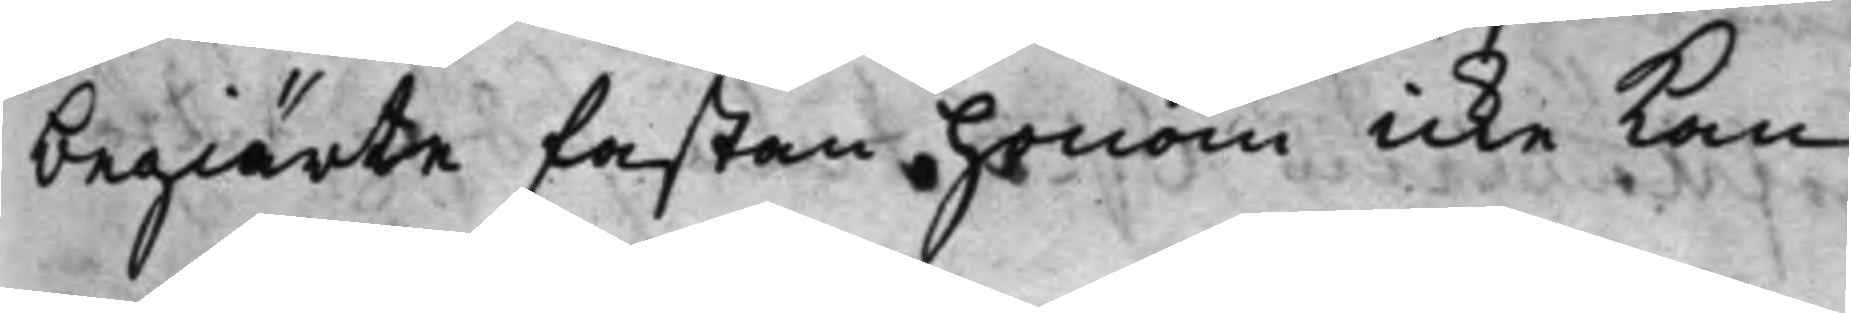begiärte fastan honom icke kan
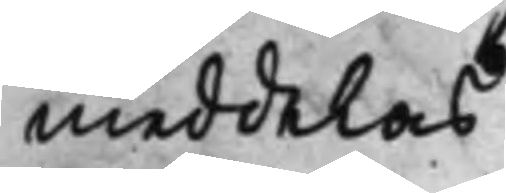meddelas.
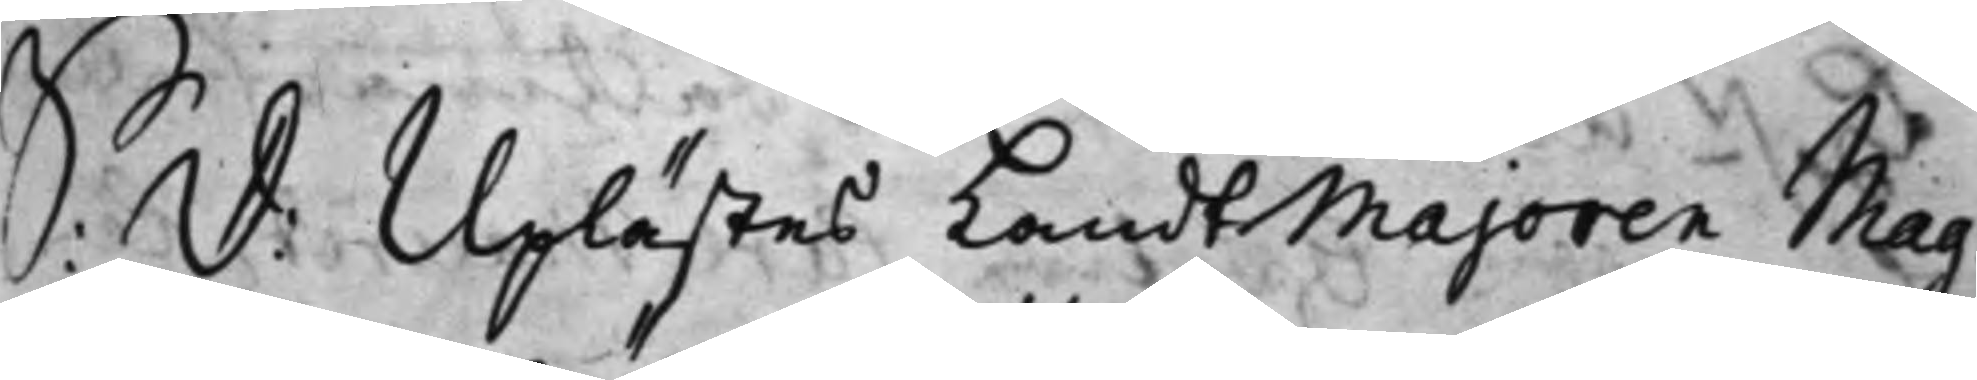S: d: Uplästes LandtMajoren Mag¬
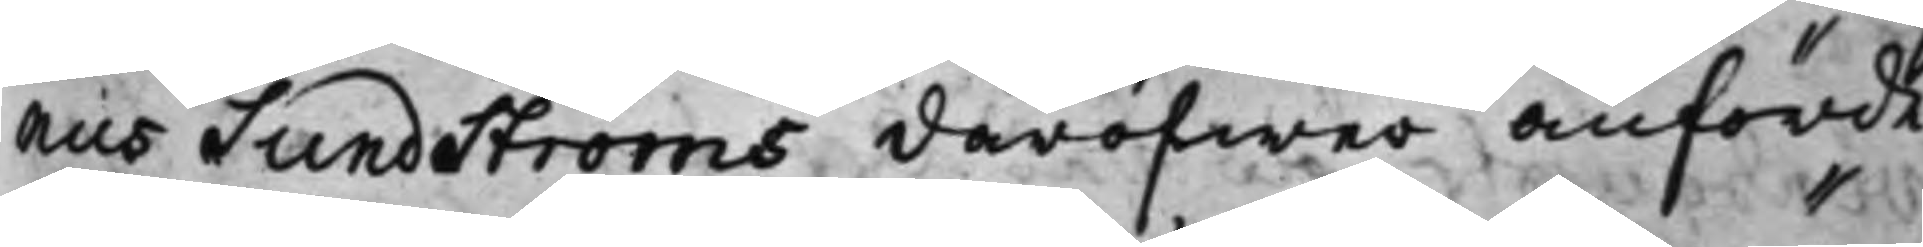nus Sundströms däröfwer anförde
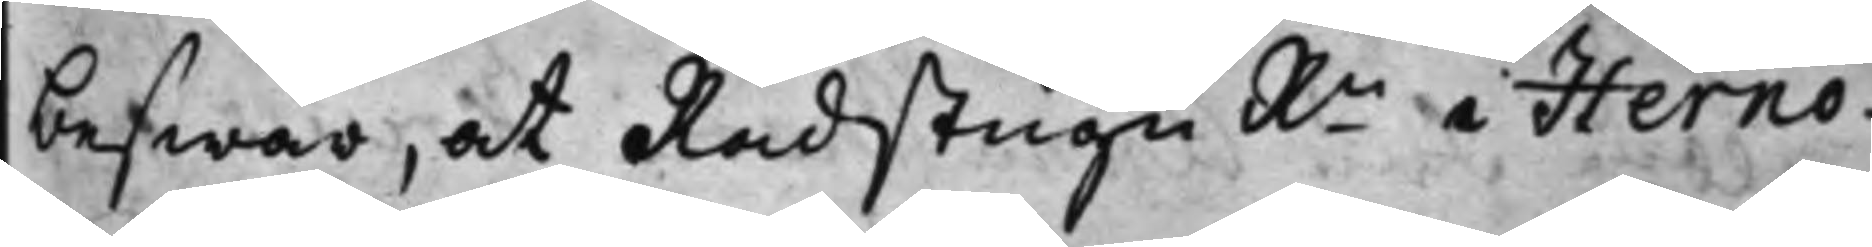beswär, at Rådstugu Rn i Hernö¬
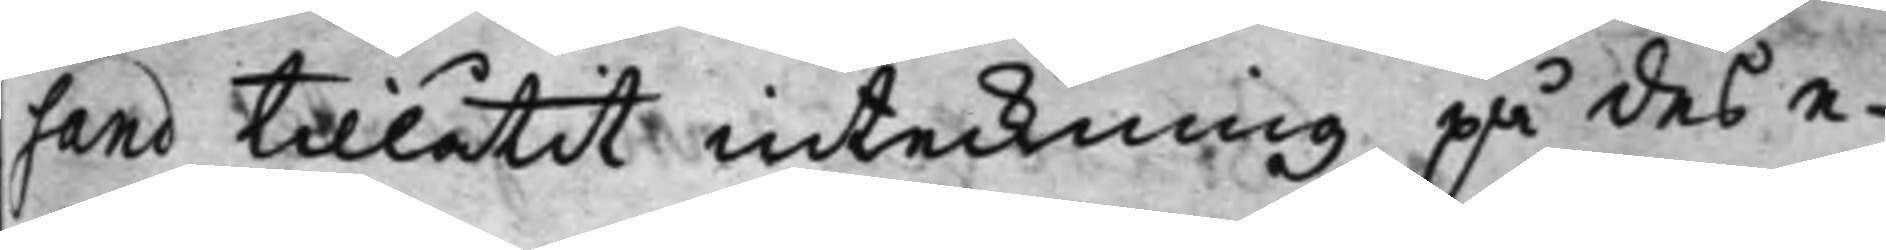sand tillåtit inteckning på des e¬
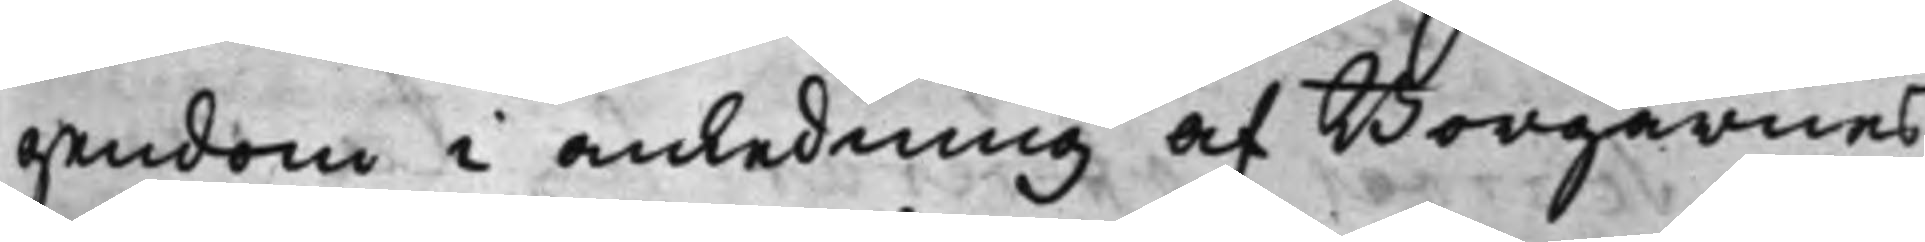gendom i anledning af Borgarnes
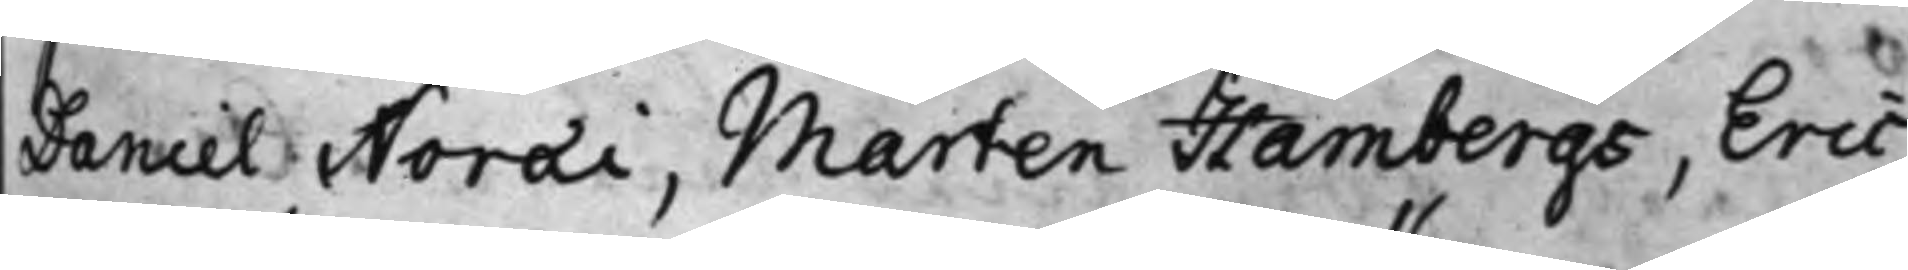Daniel Noræi, Mårten Hambergs, Eric
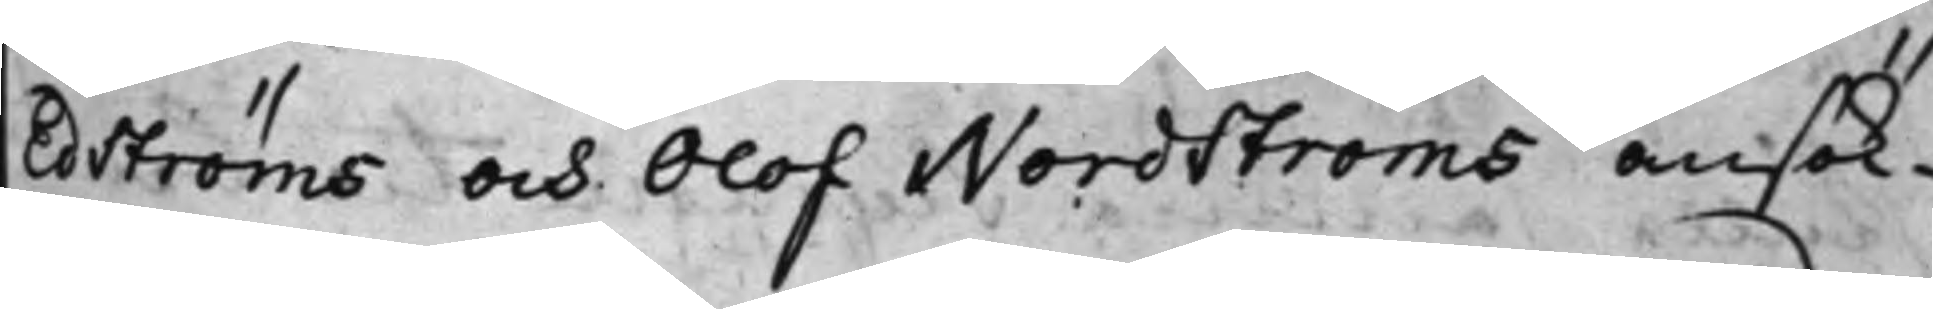Edströms och Olof Nordströms ansök¬
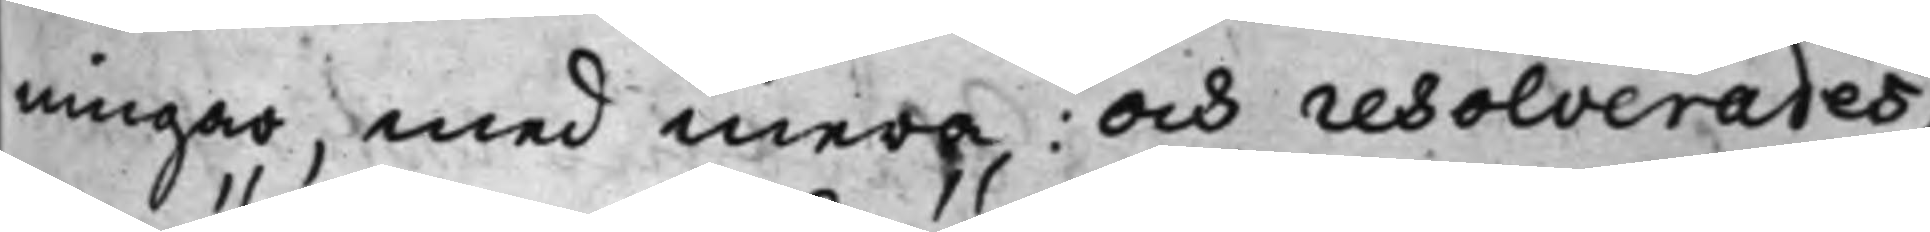ningar, med mera; och resolverades,
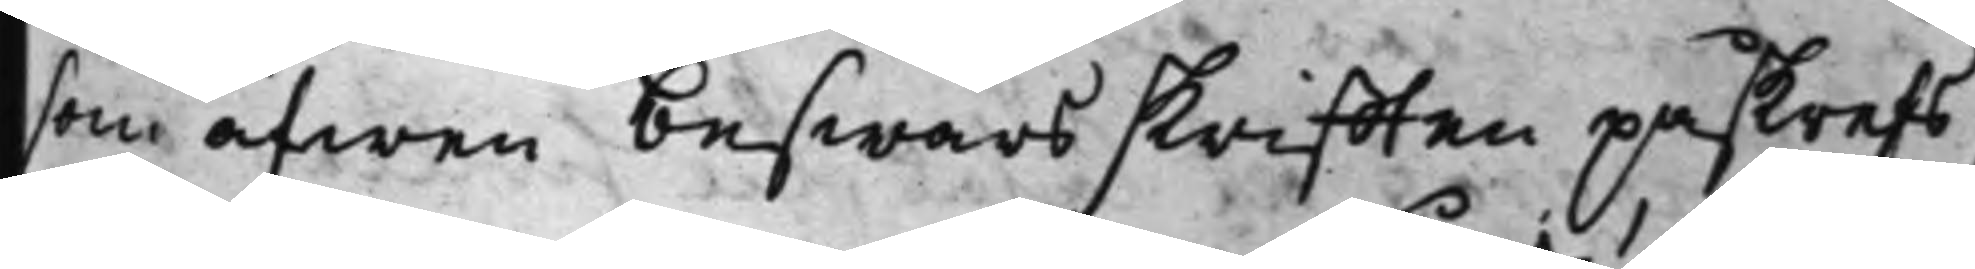som äfwen beswärsskrifften påskrefs,
